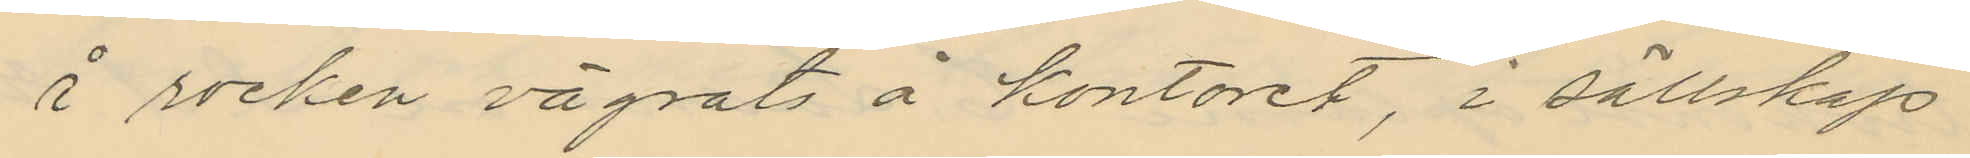å rocken vägnats å kontoret, i sällskap
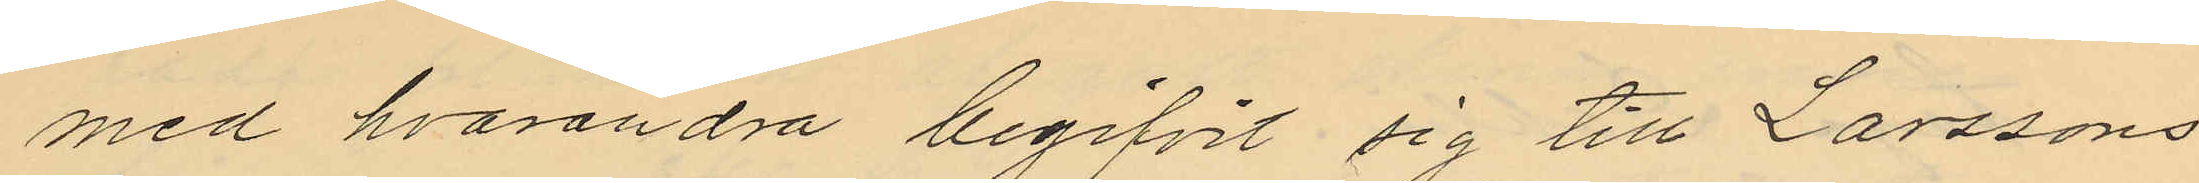med hvarandra begifvit sig till Larssons
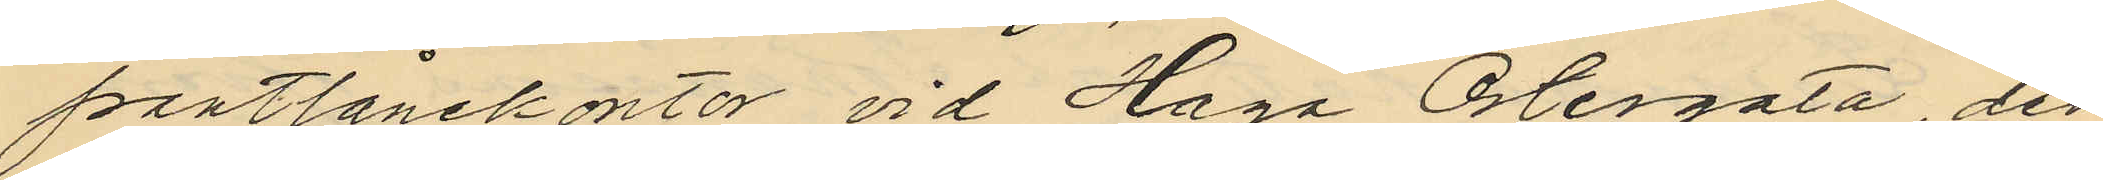pantlånekontor vid Haga Östergata, der
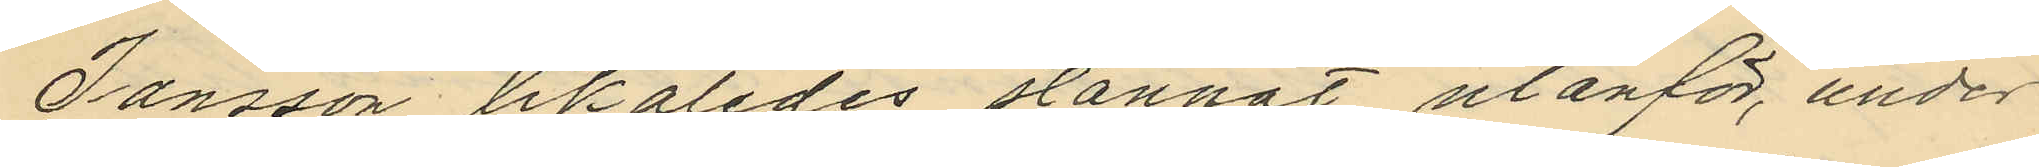Jansson likaledes stannat utanför, under
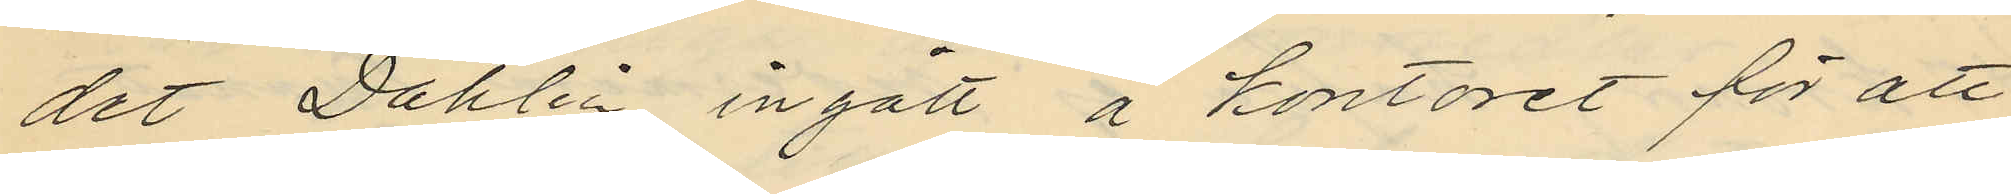det Dahlin ingått å kontoret för att
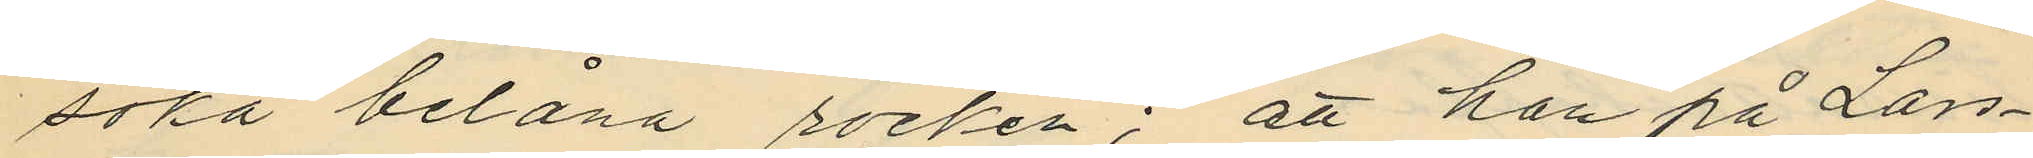söka belåna rocken; att han på Lars¬
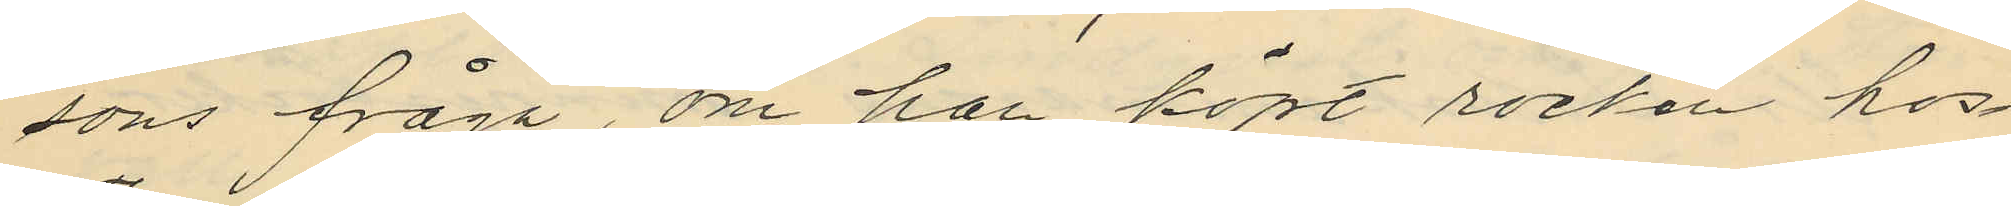sons fråga, om han köpt rocken hos
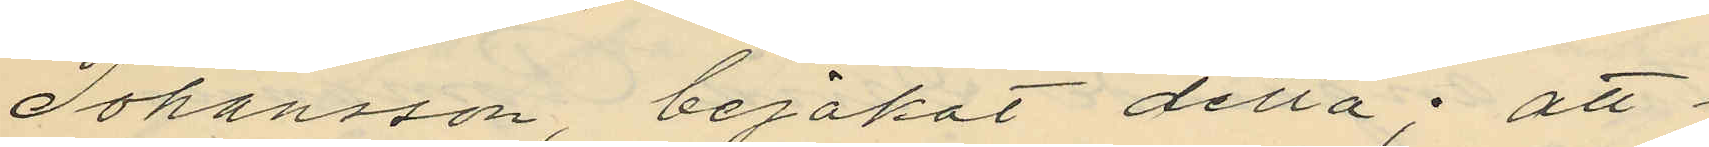Johansson, bejakat detta; att
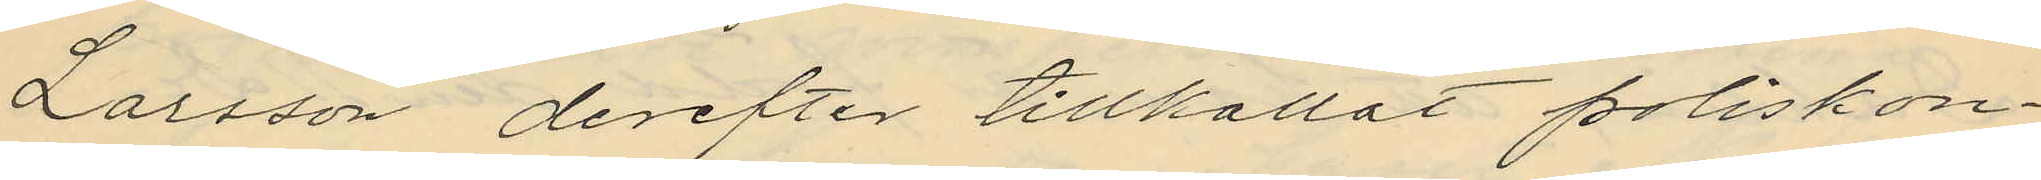Larsson derefter tillkallat poliskon¬
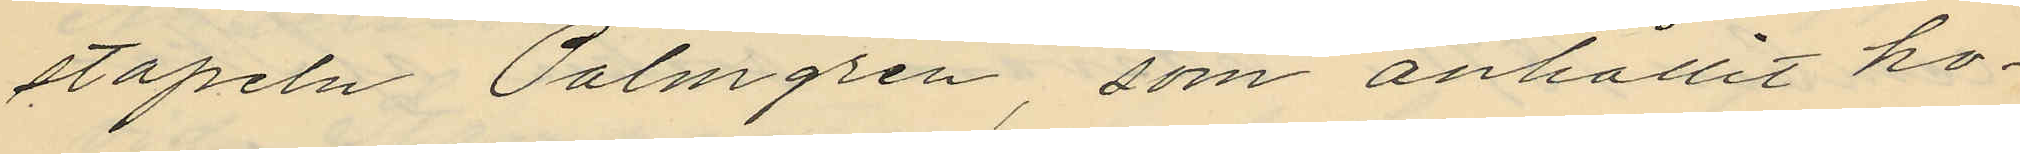stapeln Palmgren, som anhållit ho¬
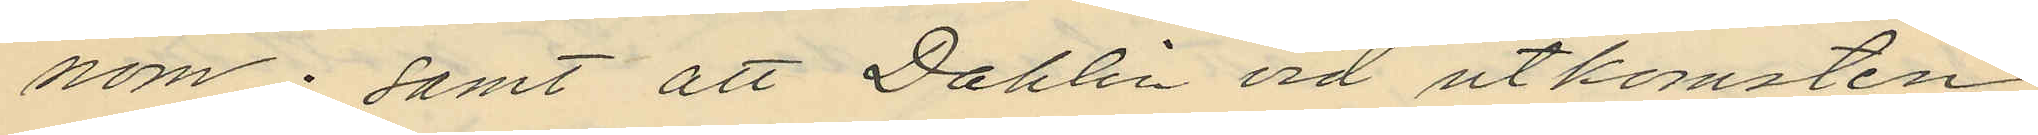nom; samt att Dahlin vid utkomsten
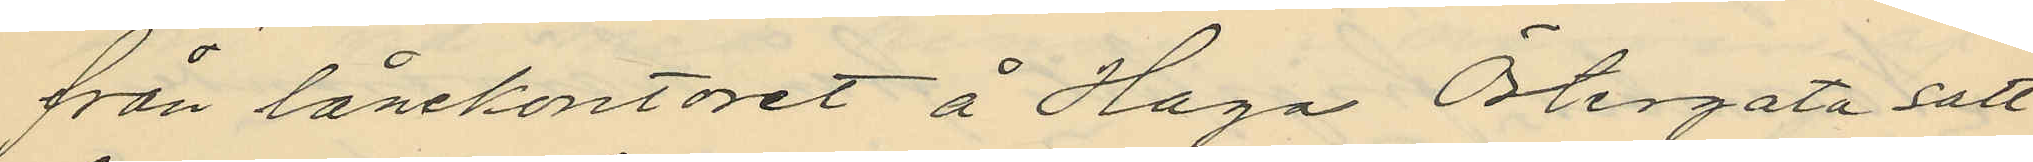från lånekontoret å Haga Östergata satt
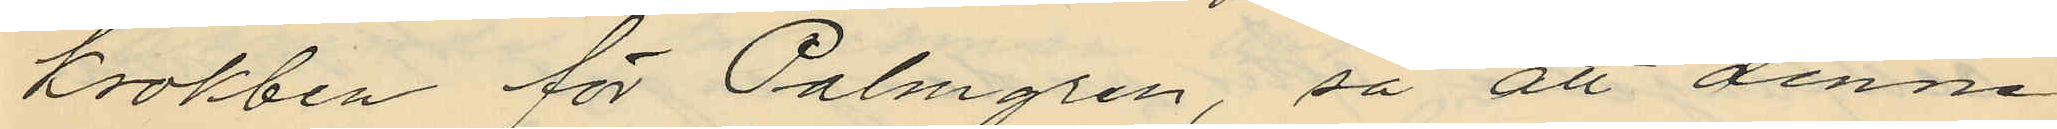krokben för Palmgren, så att denne
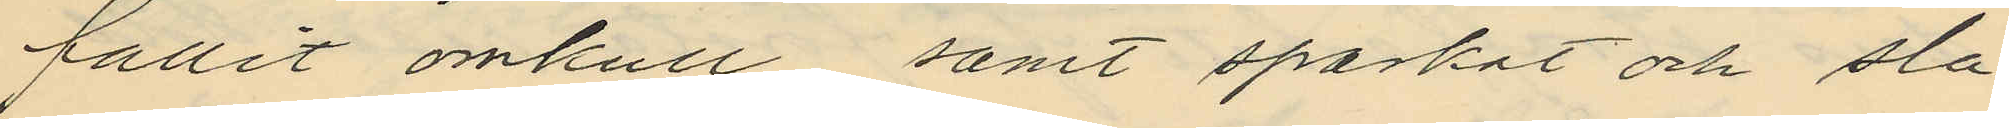fallit omkull samt sparkat och sla¬
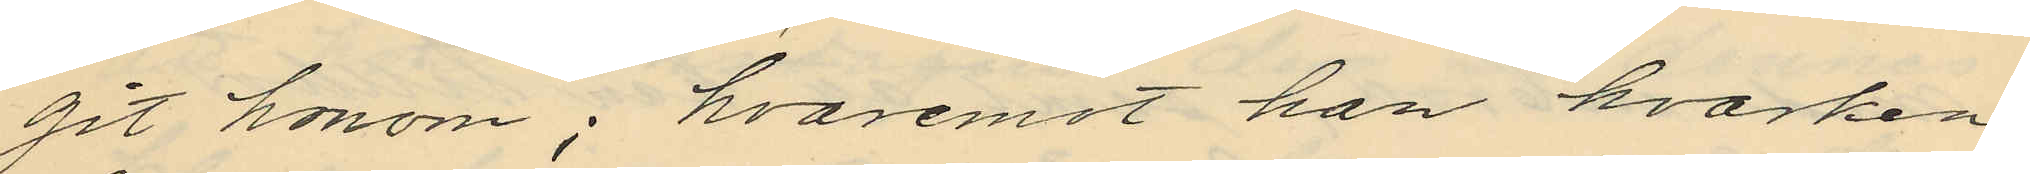git honom; hvaremot han hvarken
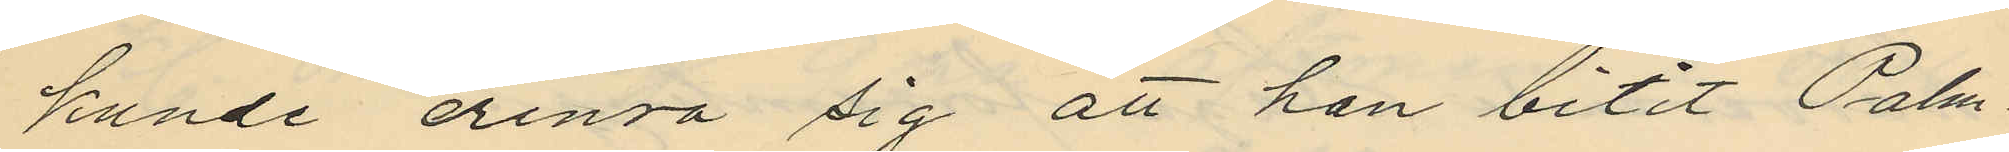kunde erinra sig att han bitit Palm¬
